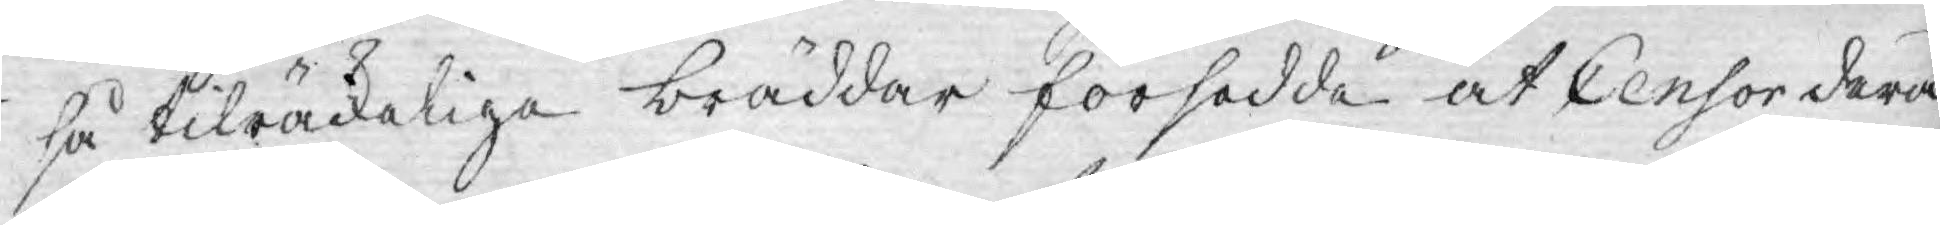så tilräckeliga bräddar försedde at Censor derå
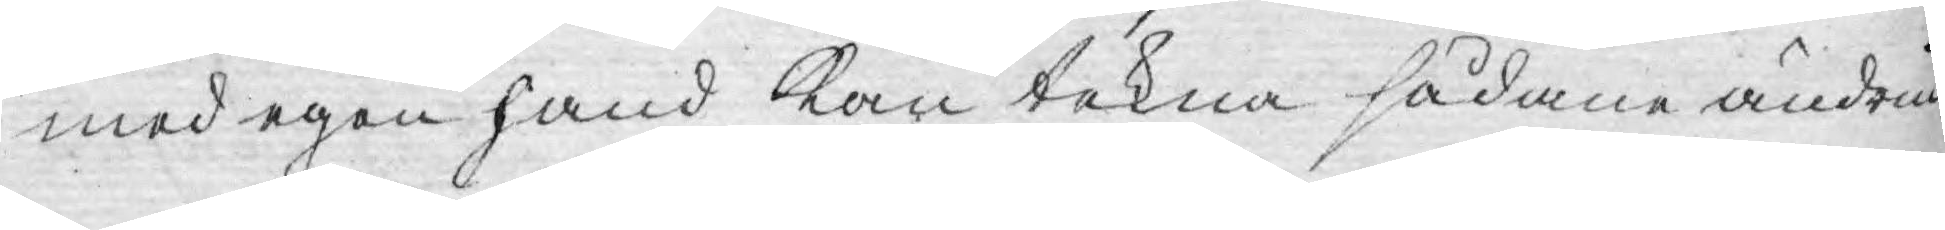med egen hand kan tekna sådane ändrin¬
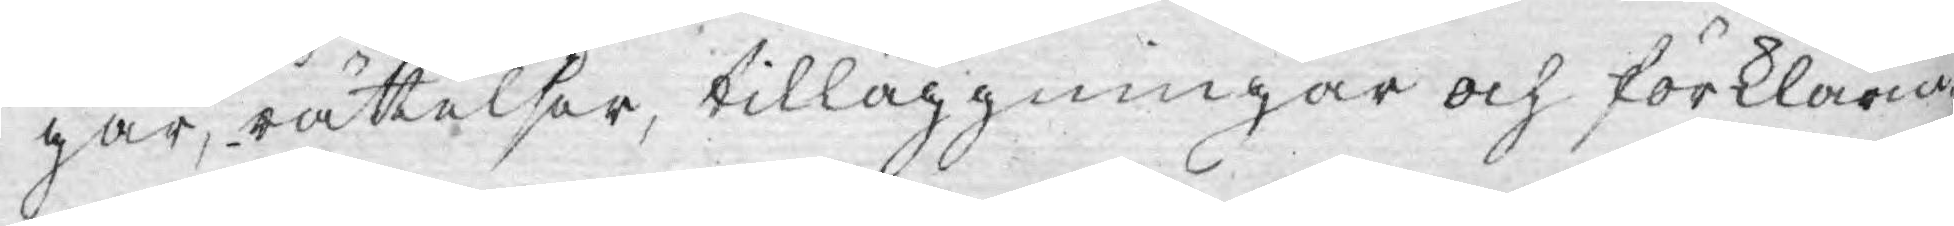gar, rättelser, tilläggningar och förklarin¬
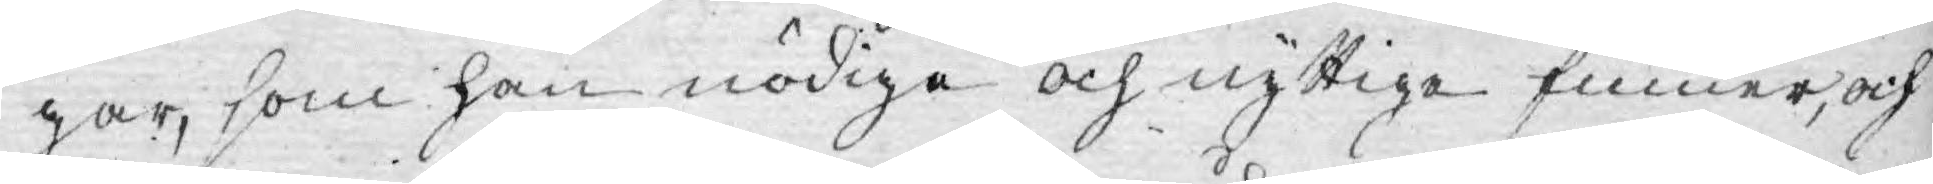gar, som han nödiga och nyttiga finner, och
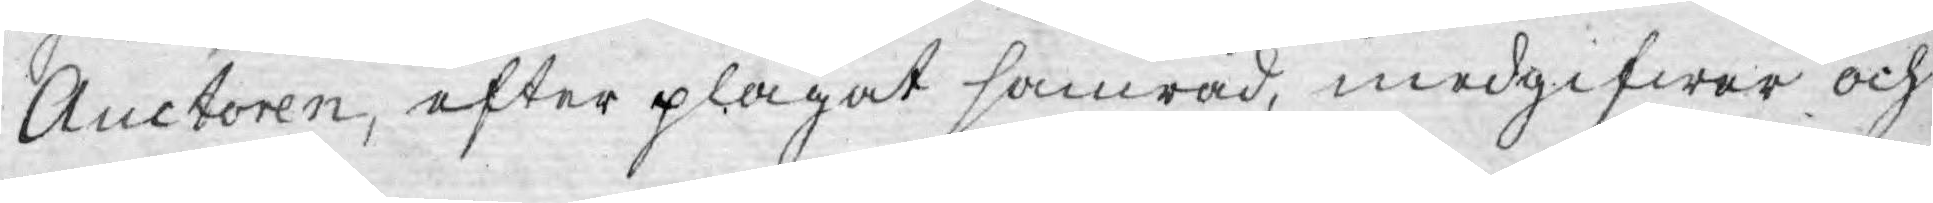Auctoren, efter plägat samråd, medgifwer och
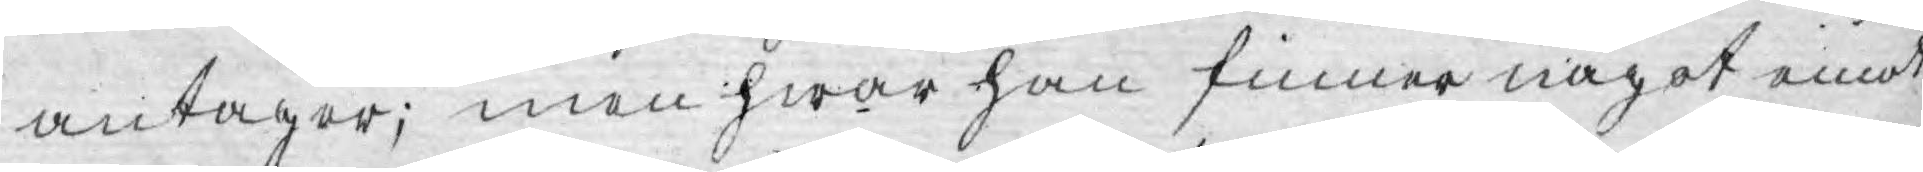antager; men hwar han finner något emot
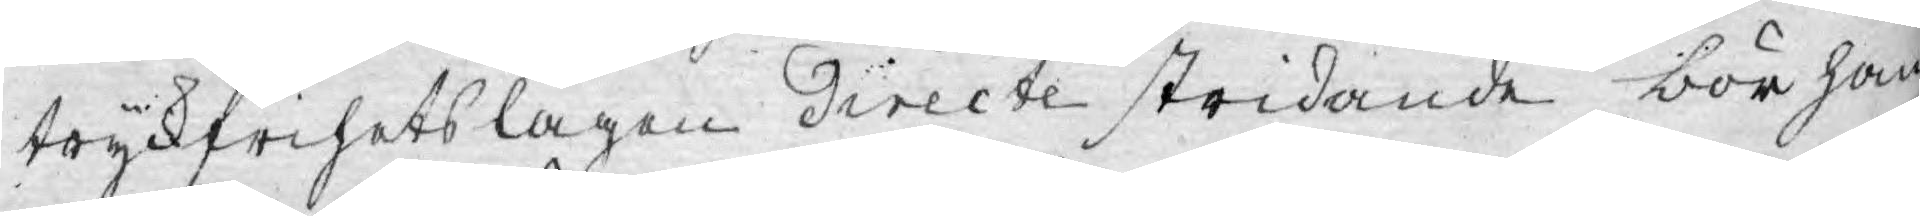tryckfrihetslagen directe stridande bör han
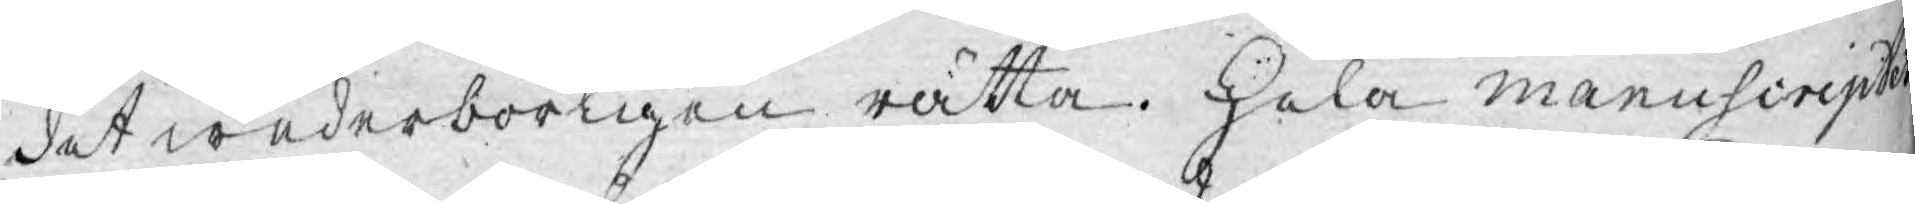det wederbörligen rätta. Hela manuscriptet
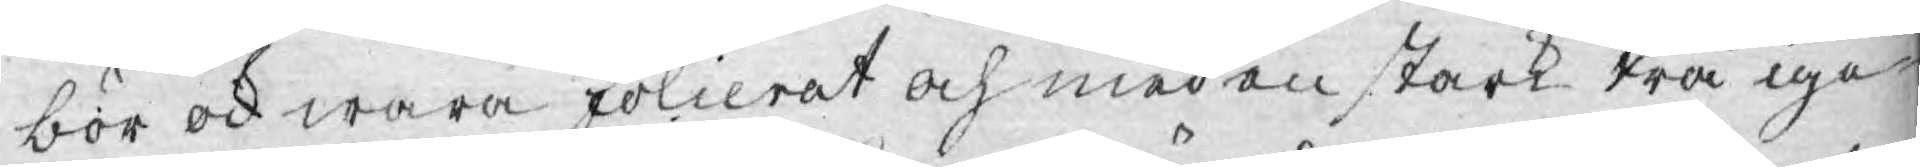bör ock wara folierat och med en stark trå ige¬
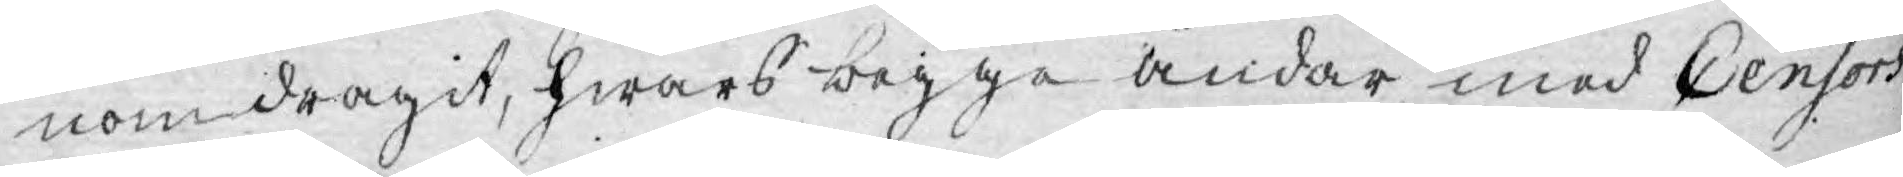nomdragit, hwars begge ändar med Censors
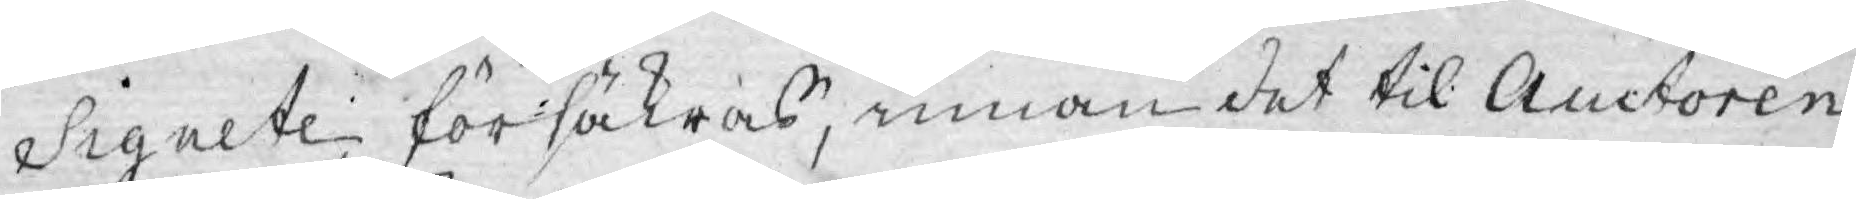Signete försäkras, innan det til Auctoren
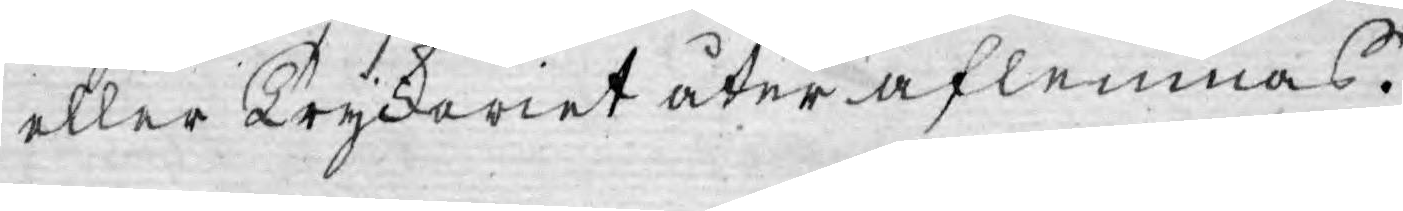eller Tryckeriet åter aflemnas.
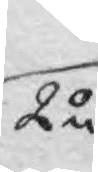2o
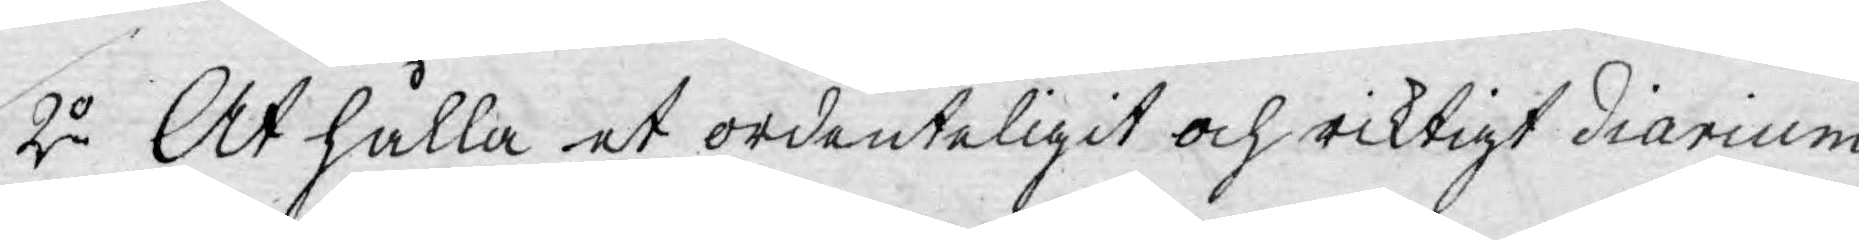2:o At hålla et ordenteligit och riktigt diarium
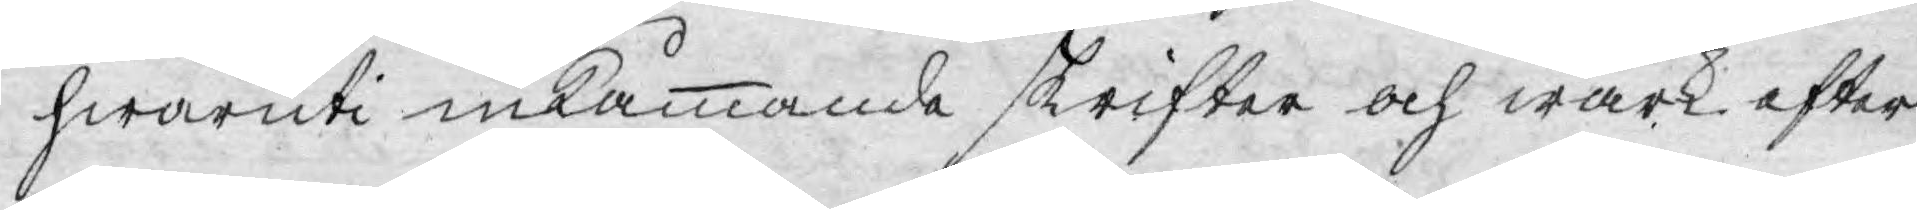hwaruti inkåmmande skrifter och wärk efter
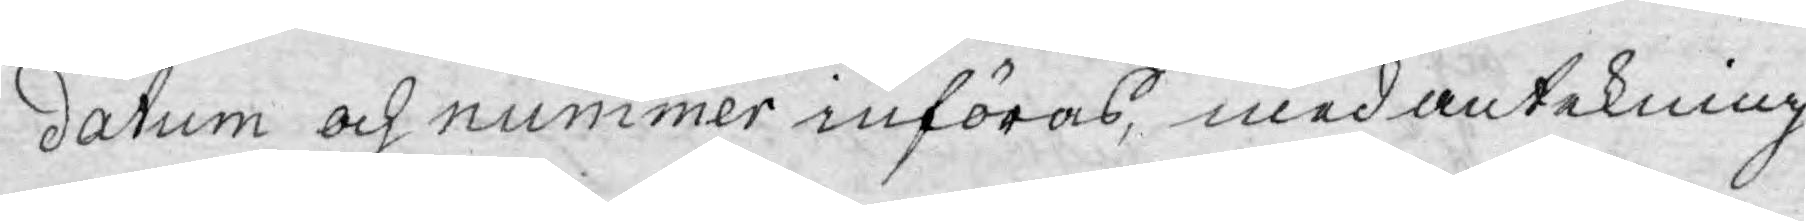datum och nummer införas, med antekning
